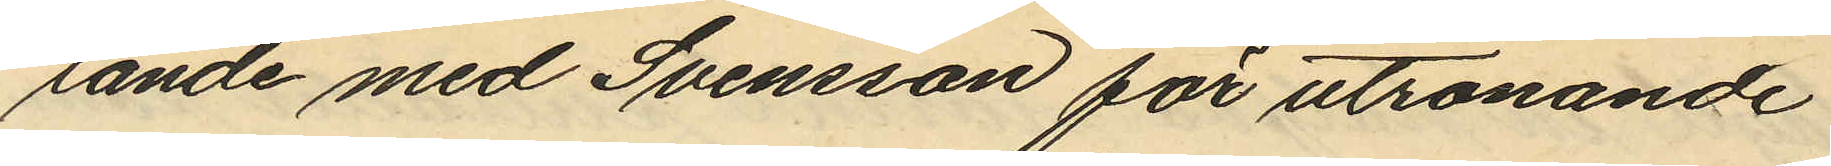lande med Svensson för utrönande
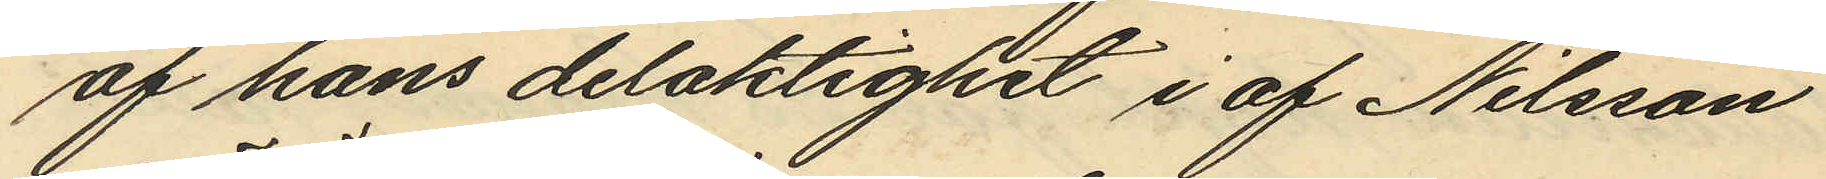af hans delaktighet i af Nilsson
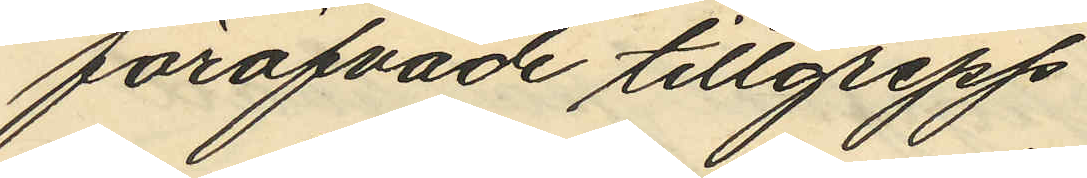föröfvade tillgrepp
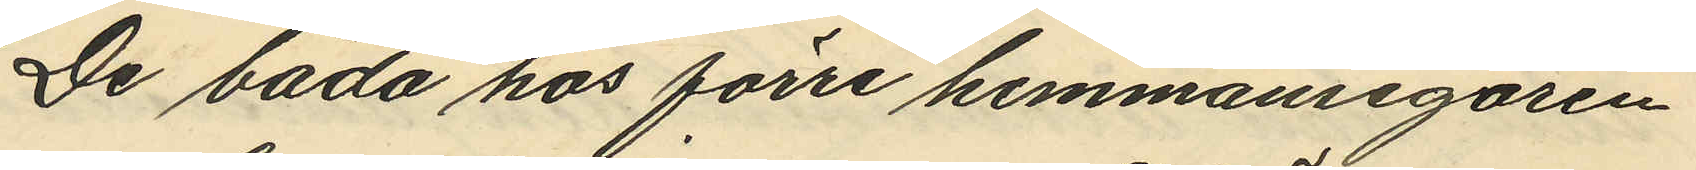De båda hos förre hemmansegaren
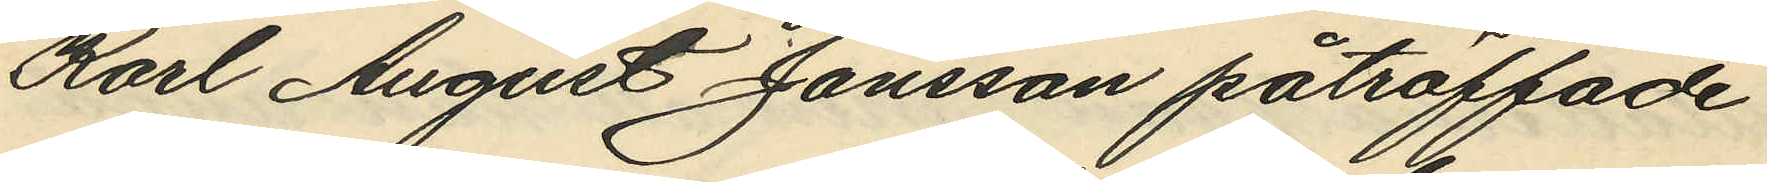Karl August Jansson påträffade
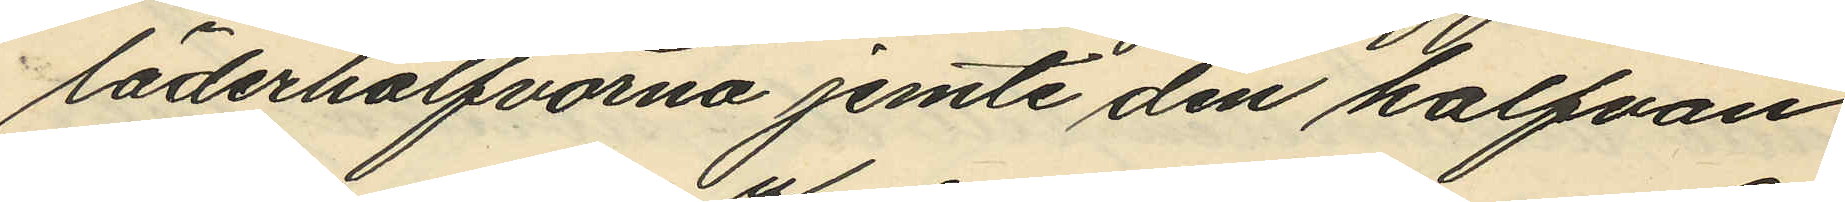läderhalfvorna jemte den halfvan
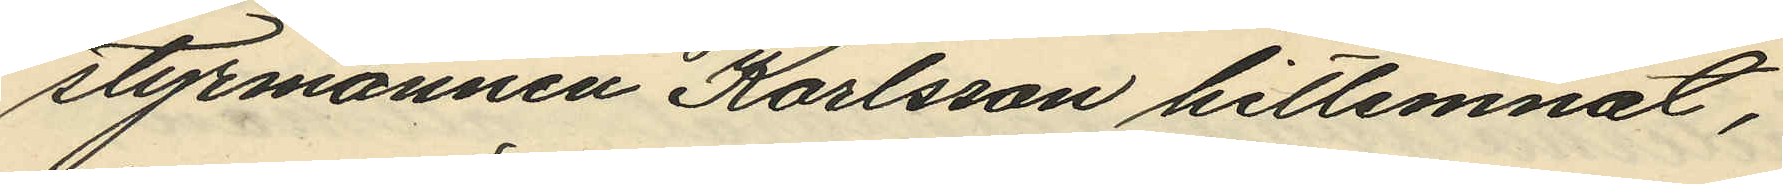styrmannen Karlsson hitlemnat,
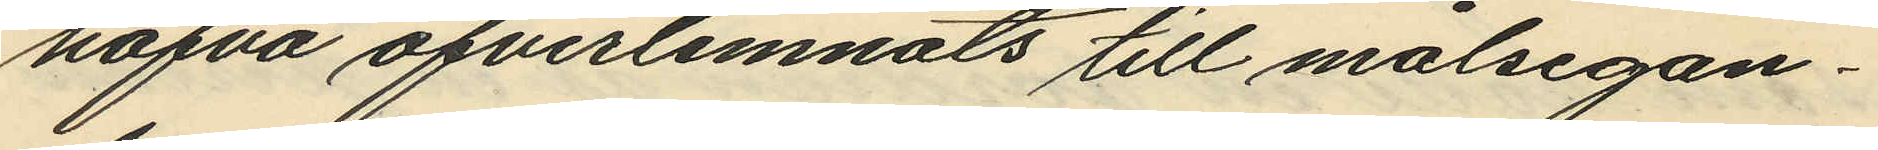hafva öfverlemnats till målsegan¬
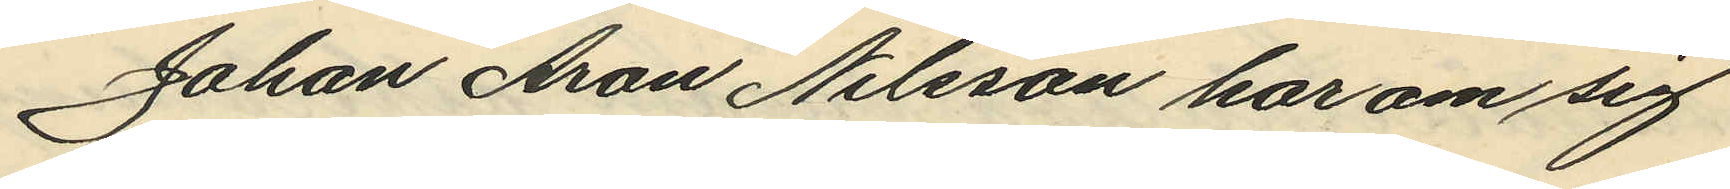Johan Aron Nilsson har om sig
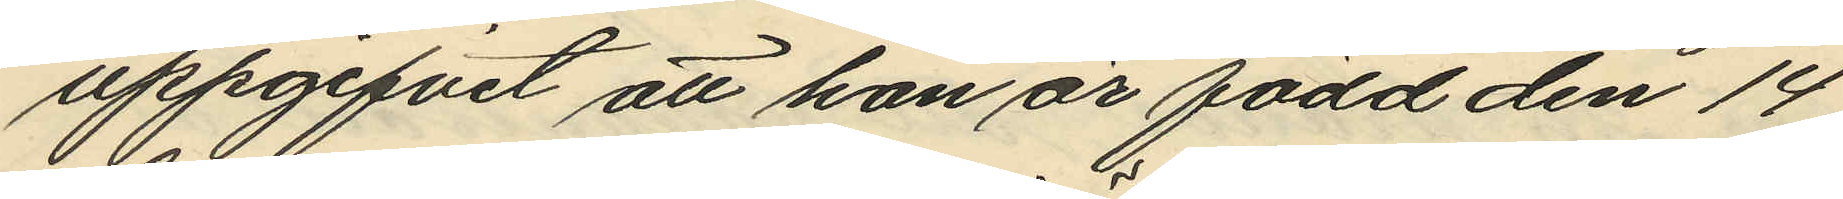uppgifvit att han är född den 14
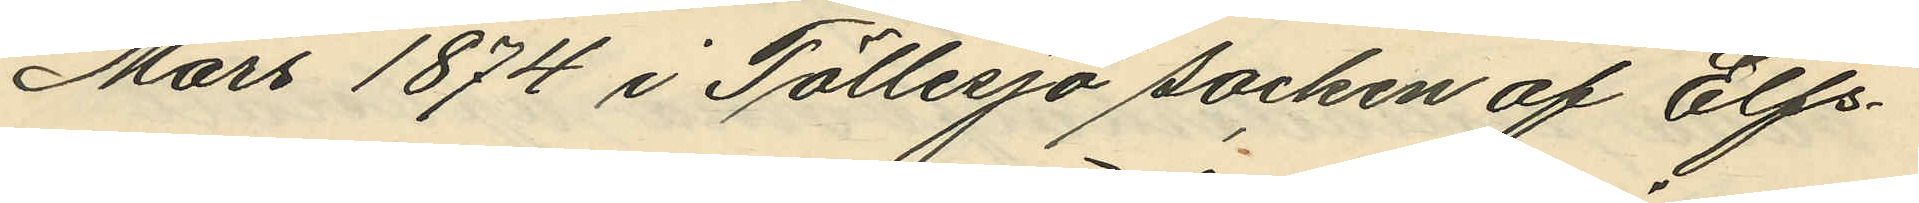Mars 1874 i Töllesjö socken af Elfs¬
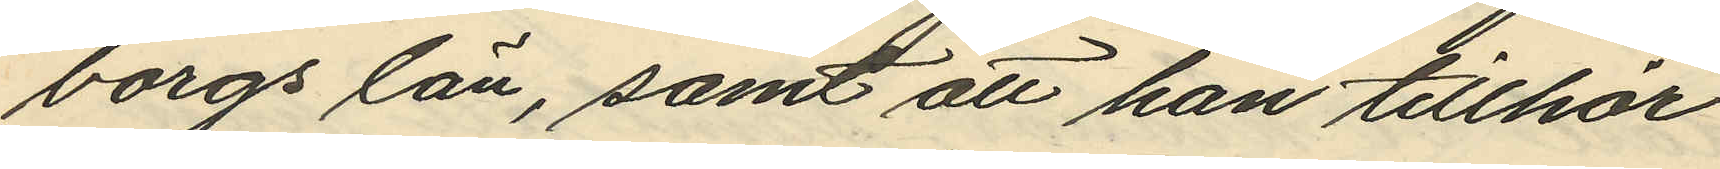borgs län, samt att han tillhör
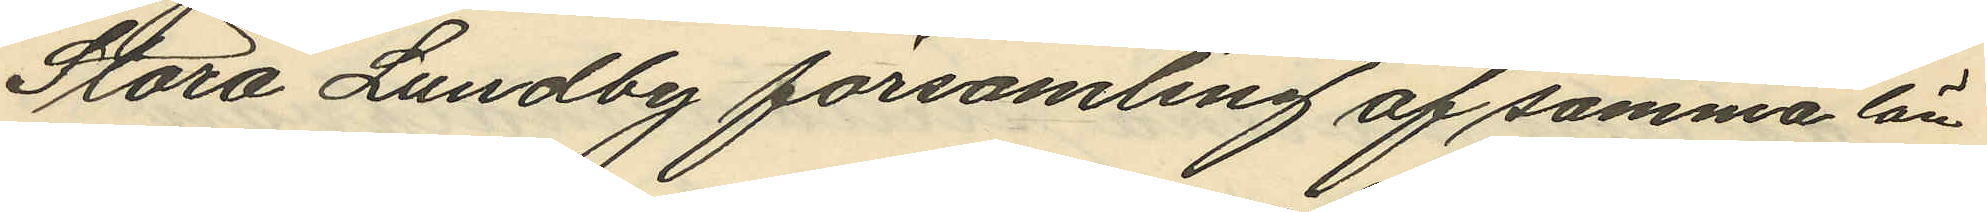Stora Lundby församling af samma län.
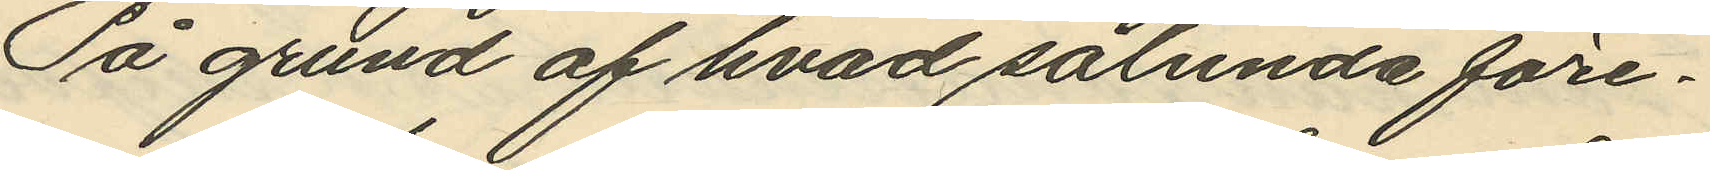På grund af hvad sålunda före¬
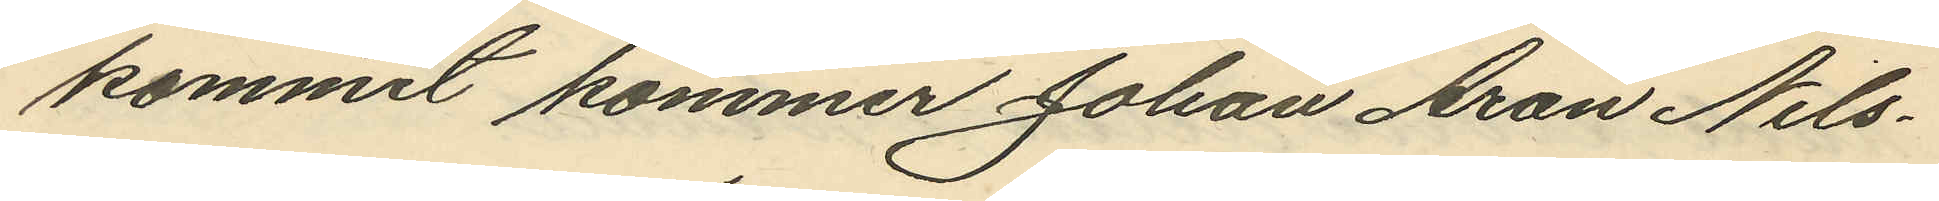kommit kommer Johan Aron Nils¬
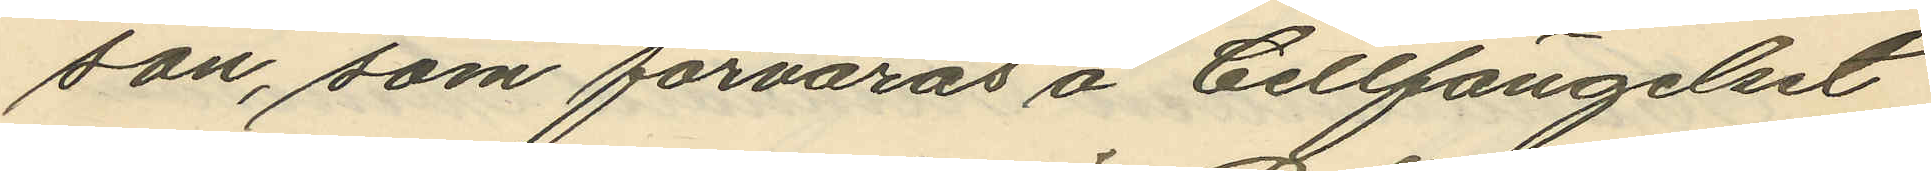son, som förvaras å Cellfängelset
